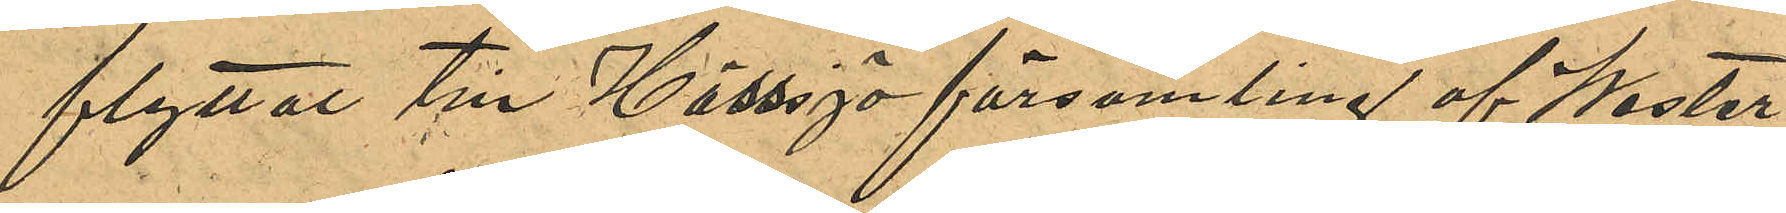flyttade till Hässjö församling af Wester¬
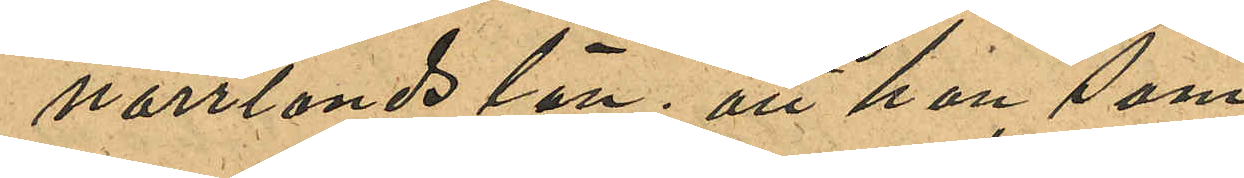norrlands län; att hon, som 
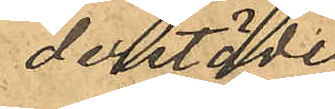derstädes
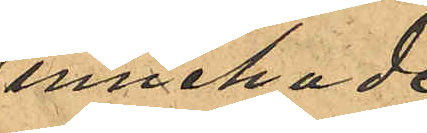innehade
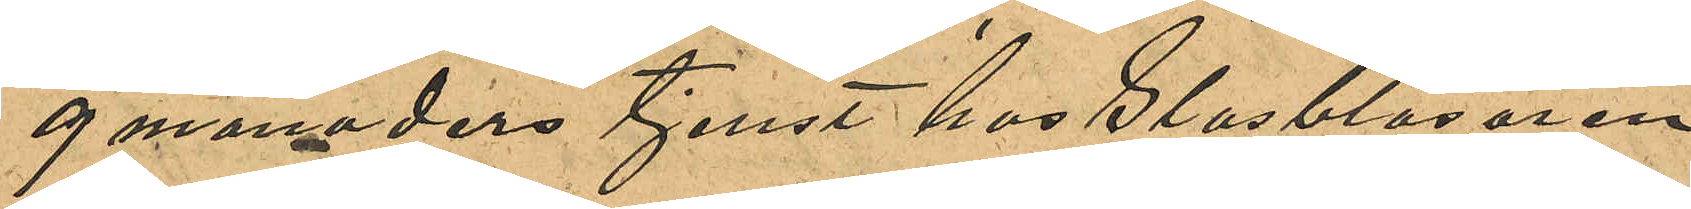9 månaders tjenst hos Glasblåsaren
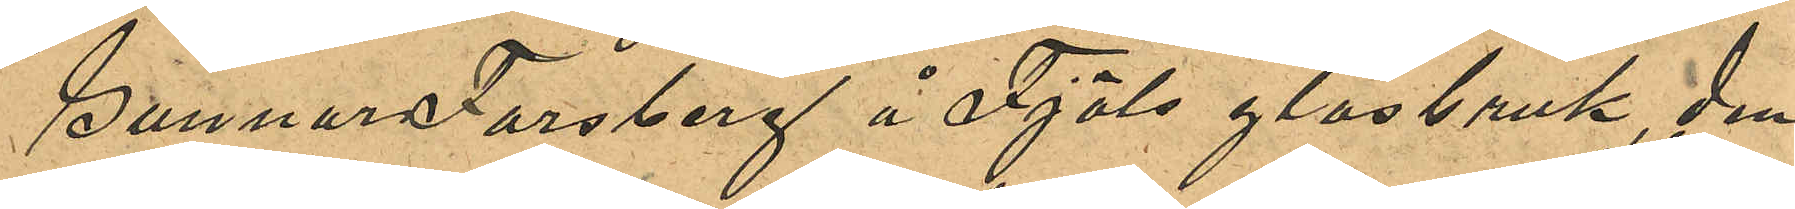Gunnar Forsberg å Fjäls glasbruk, den
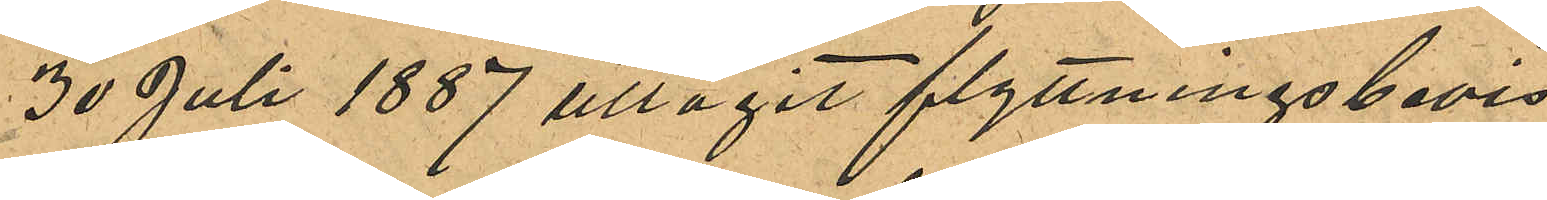30 Juli 1887 uttagit flyttningsbevis 
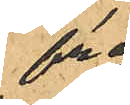från
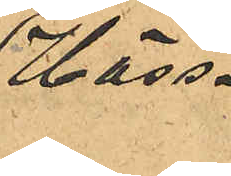Häss¬
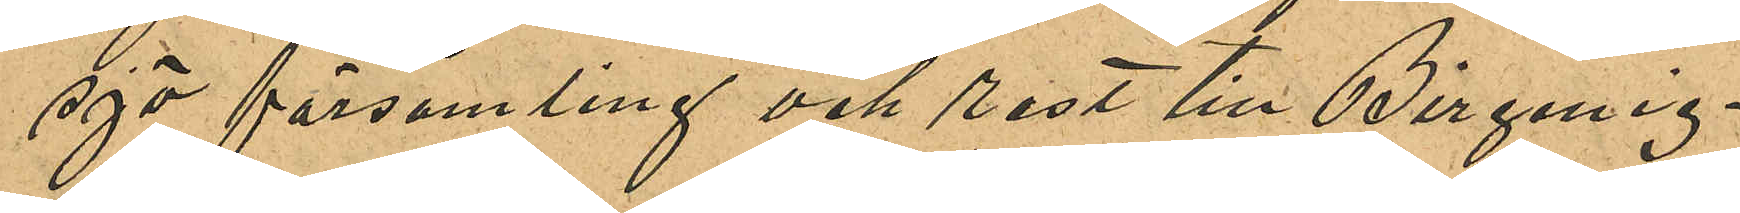sjö församling och rest till Birgmig¬
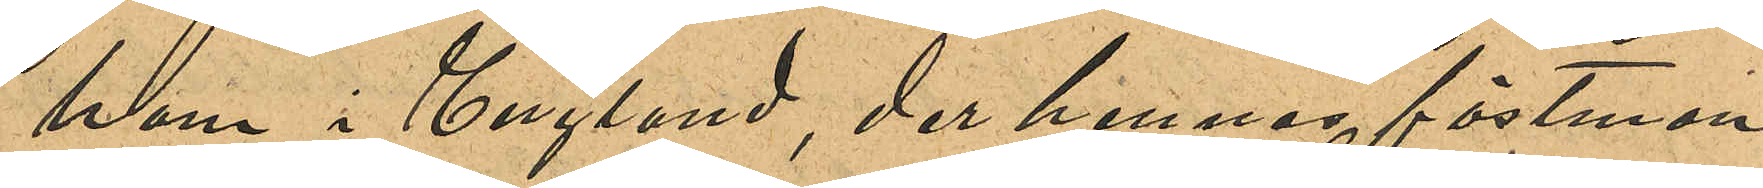ham i England, der hennes fästman
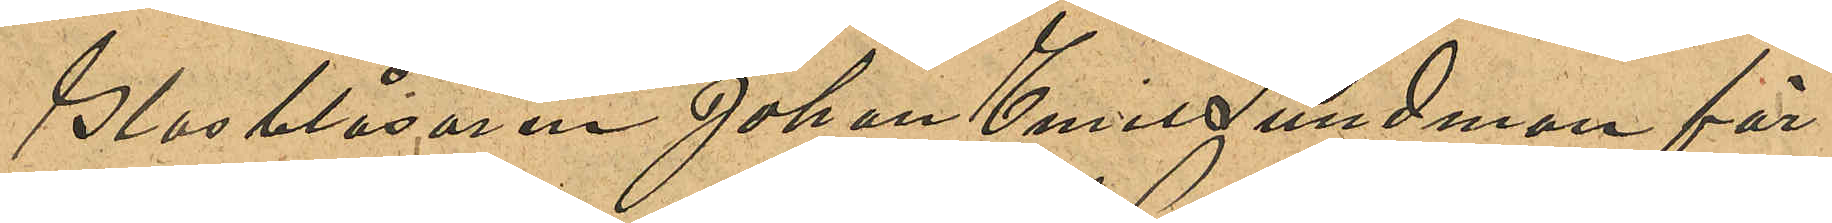Glasblåsaren Johan Emil Sundman för¬
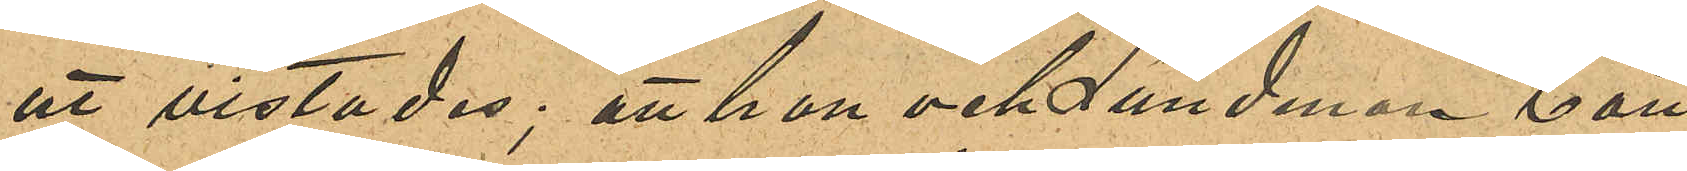ut vistades; att hon och Lundman bott
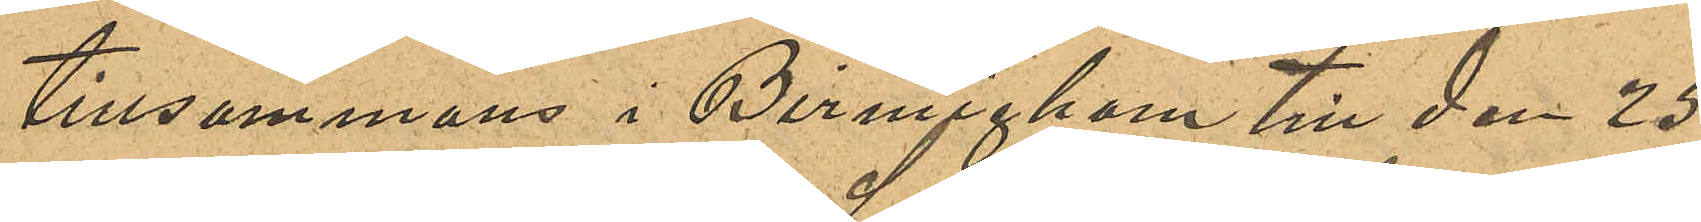tillsammans i Birmigham till den 25
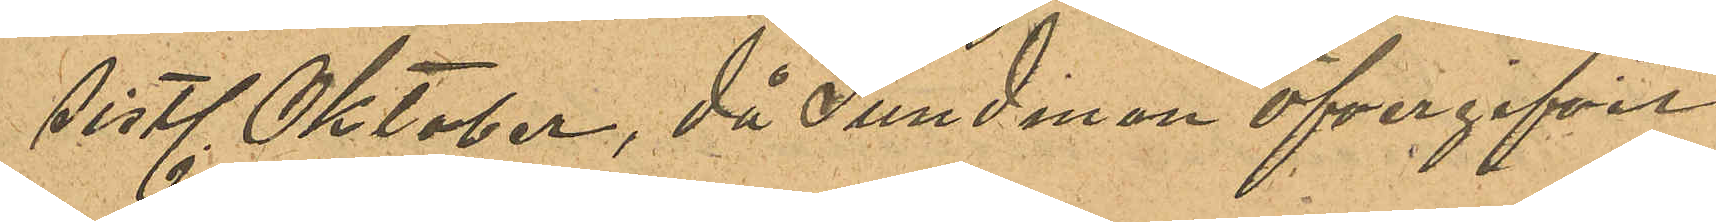sistl Oktober, då Sundman öfvergifvit
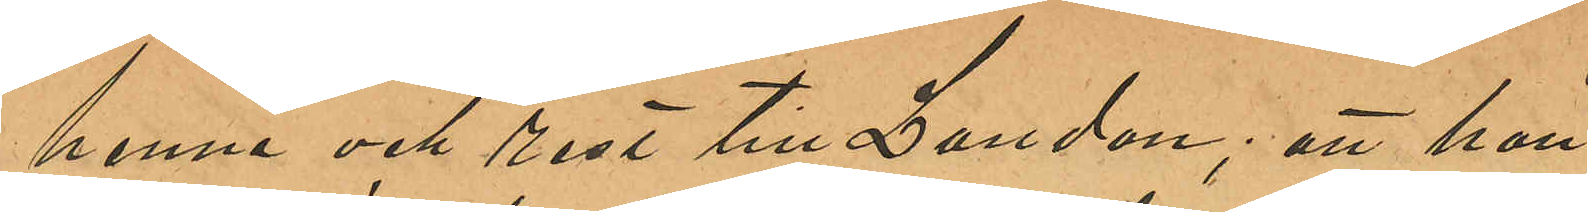henne och rest till London; att hon
